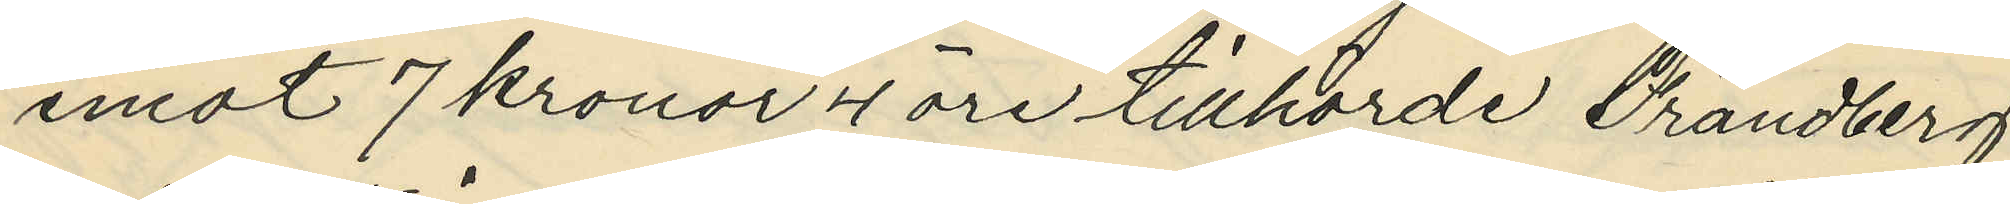emot 7 kronor 4 öre tillhörde Frändberg
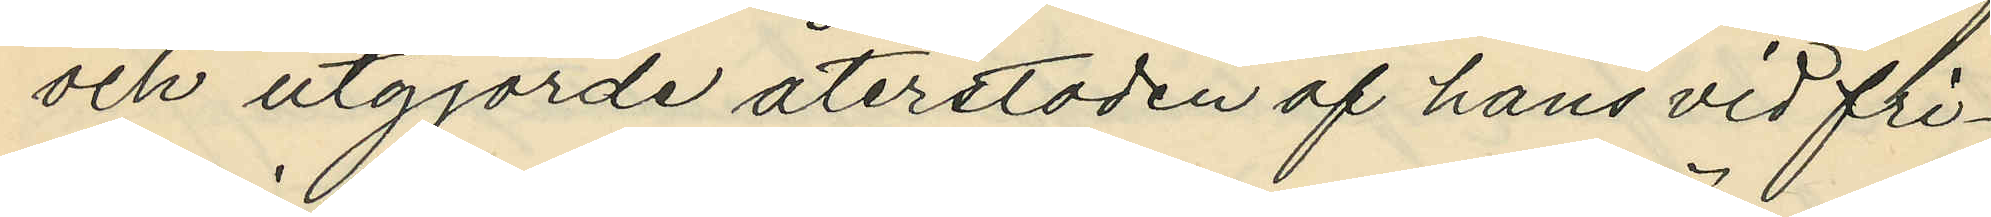och utgjorde återstoden af hans vid fri¬
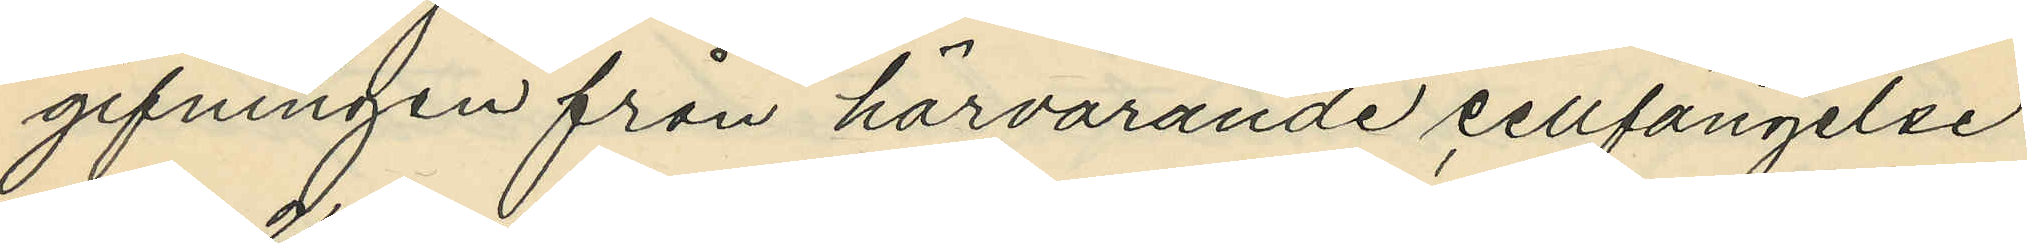gifningen från härvarande cellfängelse
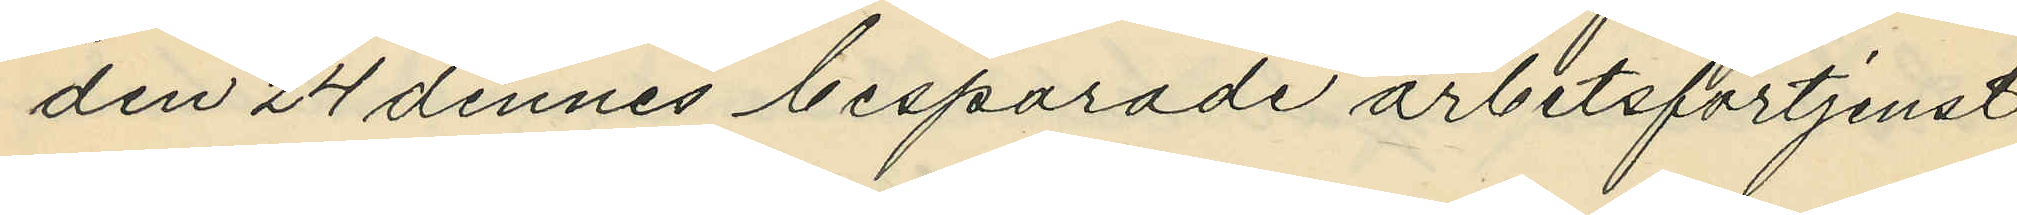den 24 dennes besparade arbetsförtjenst
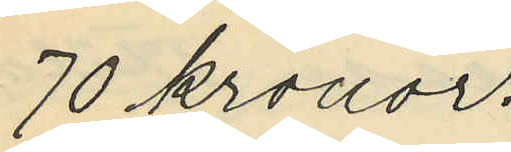70 kronor.
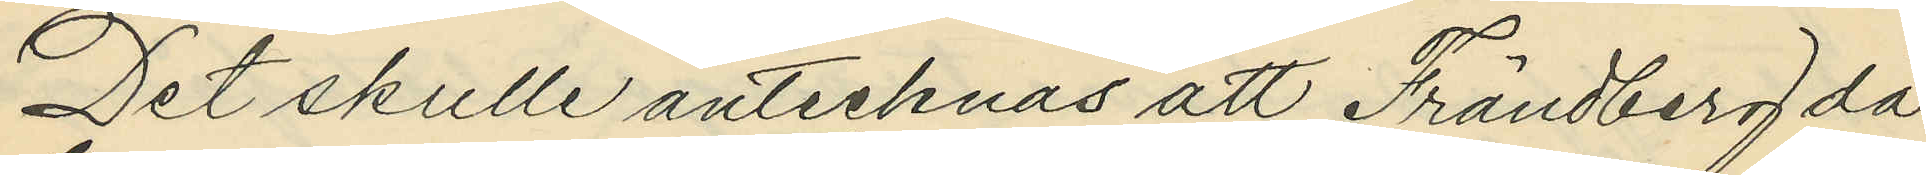Det skulle antecknas att Frändberg då
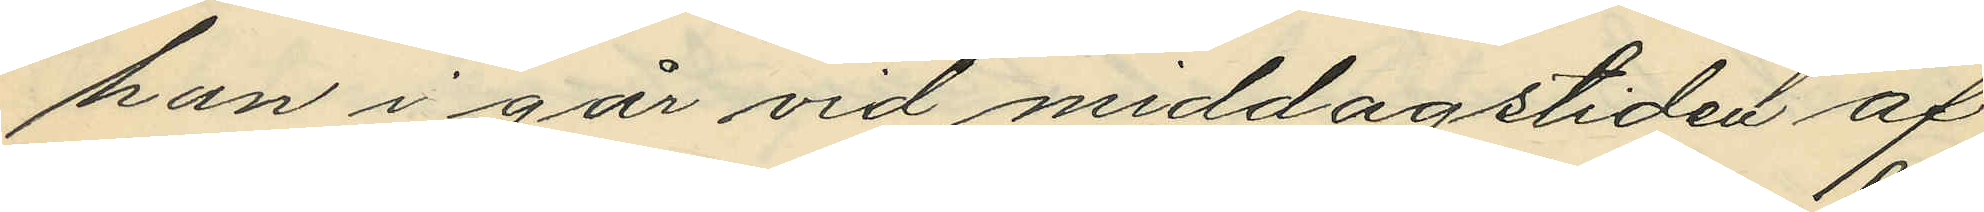han i går vid middagstiden af
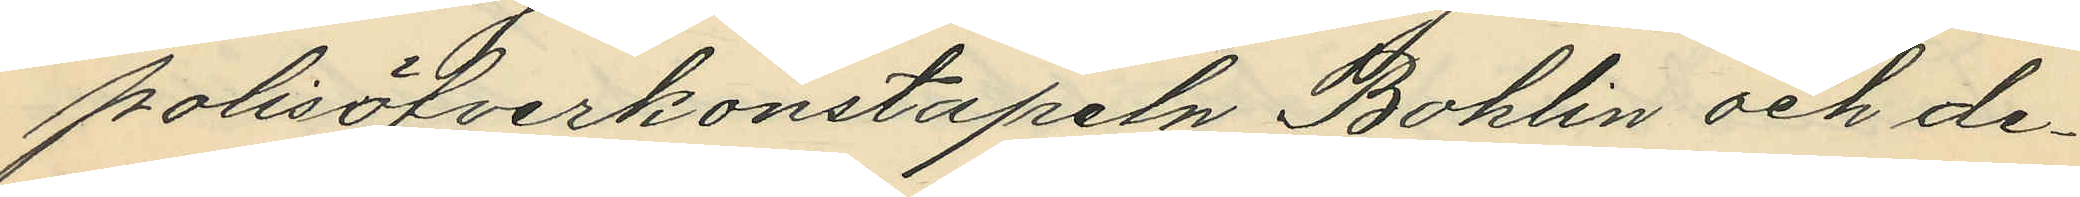polisöfverkonstapeln Bohlin och de¬
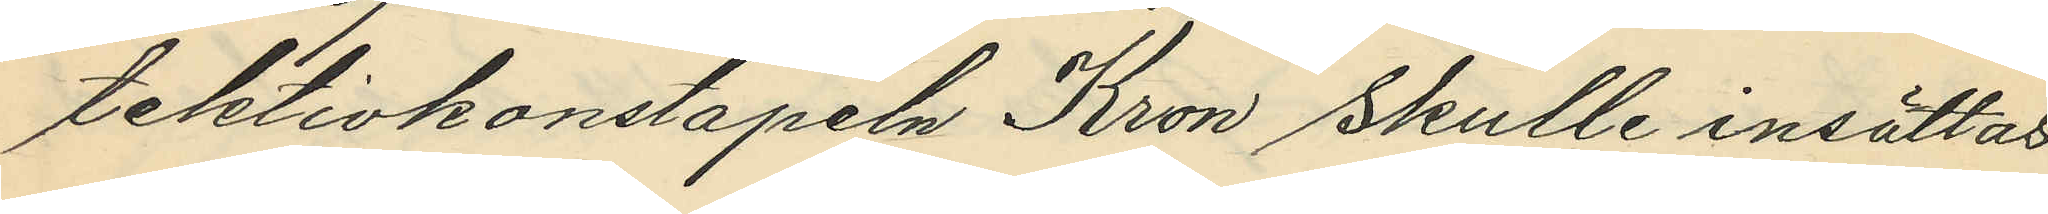tektivkonstapeln Kron skulle insättas
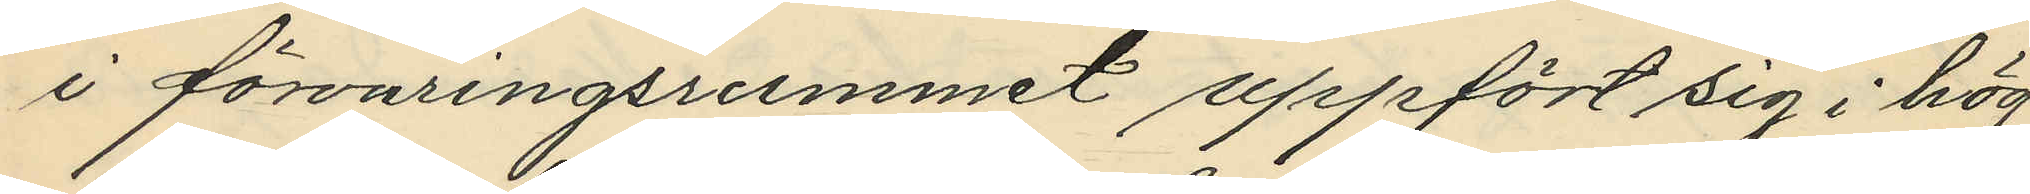i förvaringsrummet uppfört sig i hög
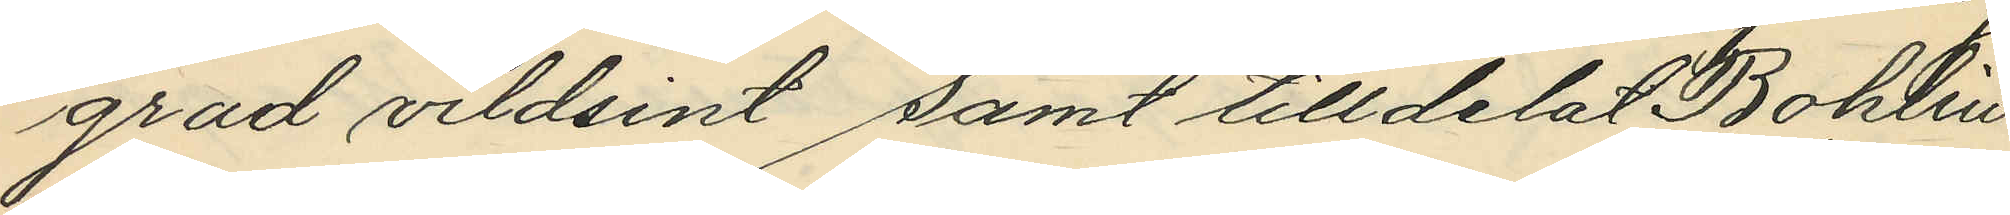grad vildsint samt tilldelat Bohlin
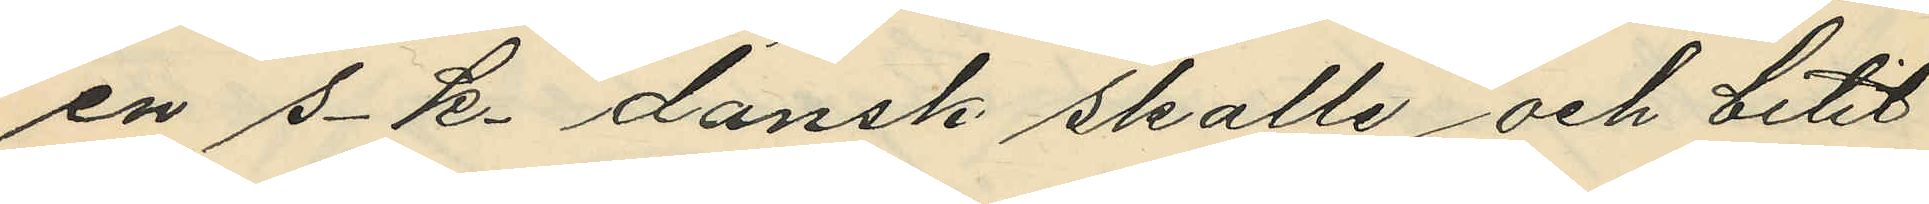en s.k. dansk skalle och bitit
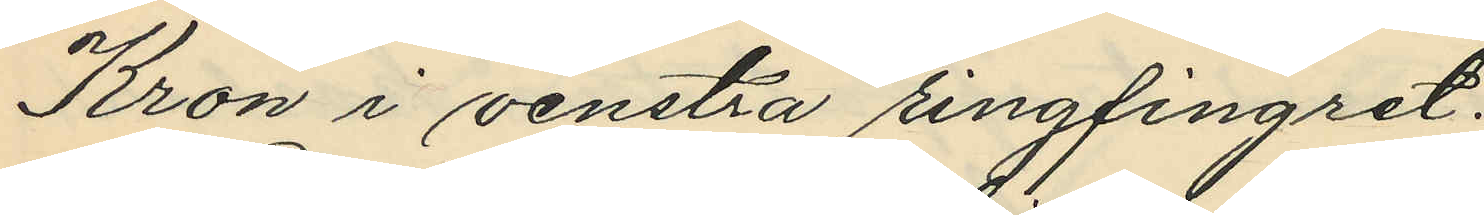Kron i venstra ringfingret.
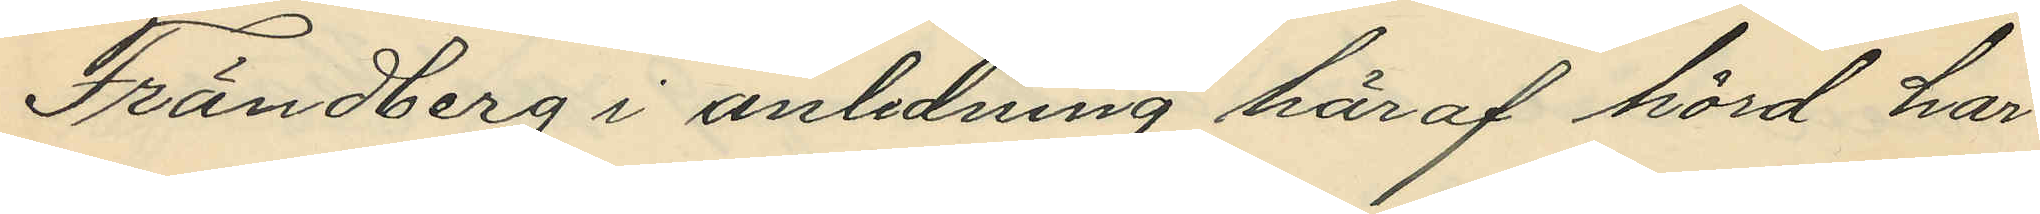Frändberg i anledning häraf hörd har
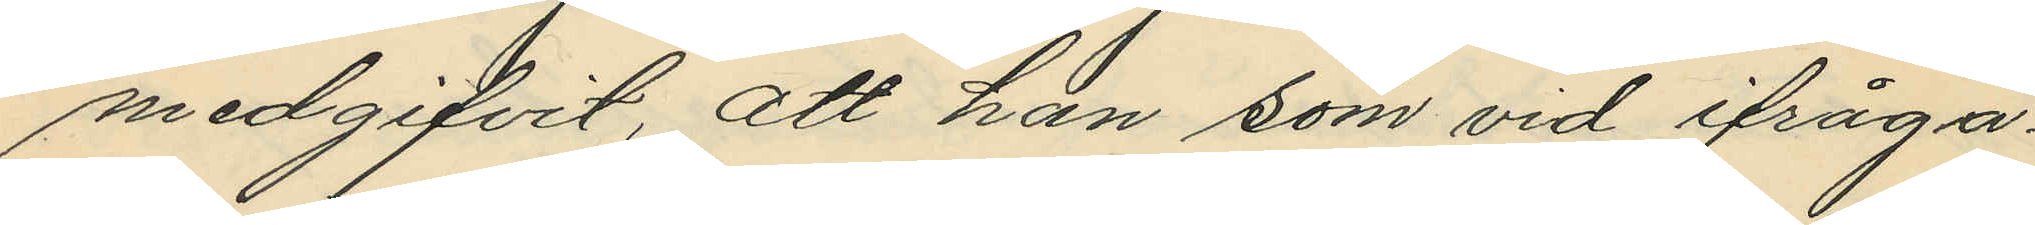medgifvit, att han som vid ifråga¬
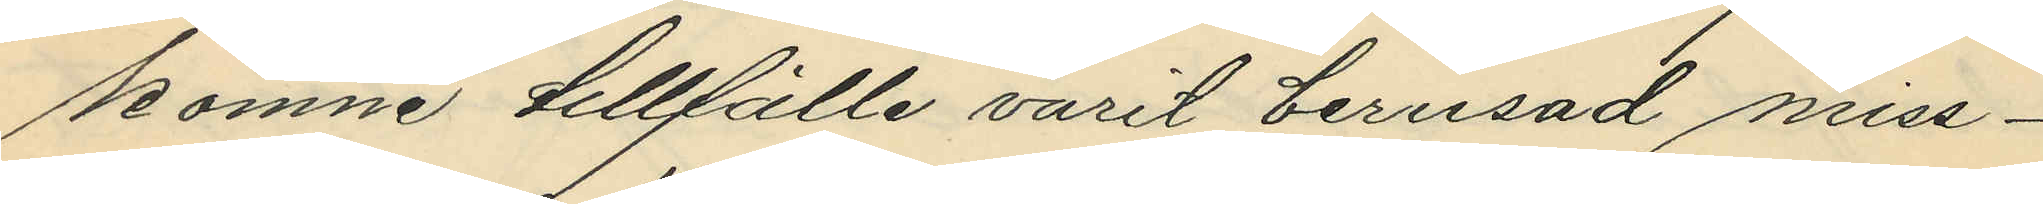komne tillfälle varit berusad miss¬
